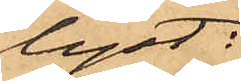lyst:
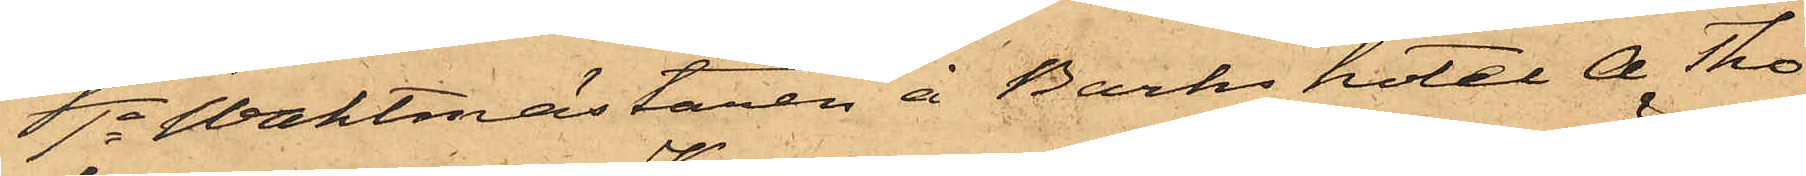1o Waktmästaren å Barks hotel A Tho¬
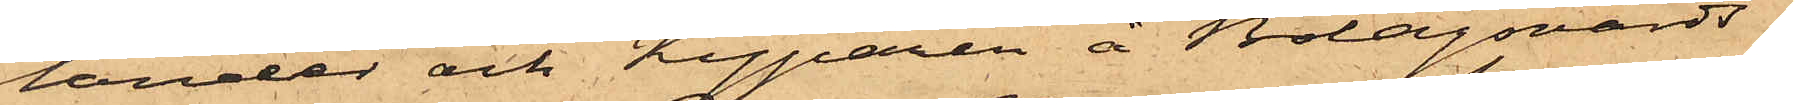lander och Kyparen å Bolagsvärds¬
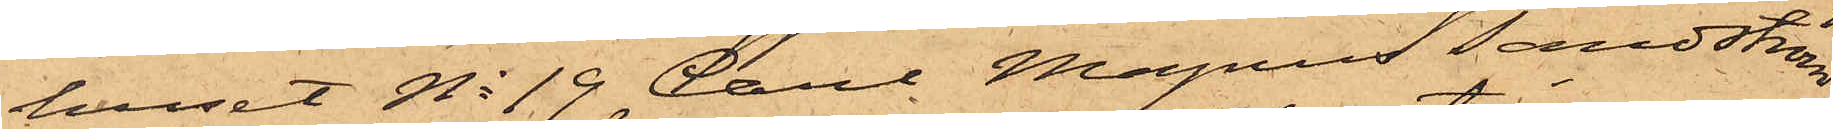huset No 13 Carl Magnus Sandström
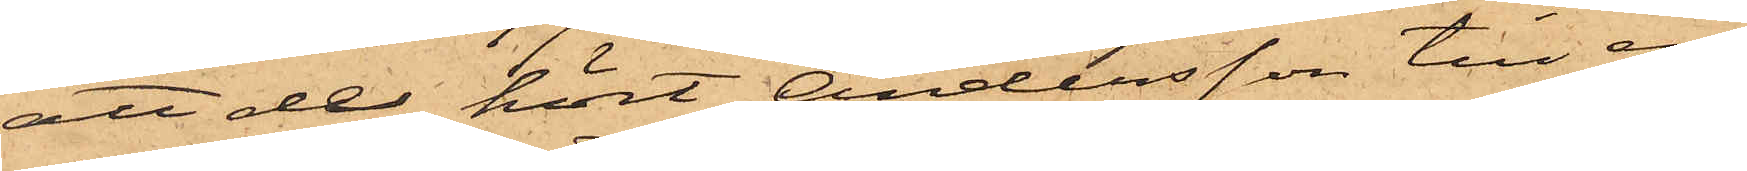att de hört Andersson till en
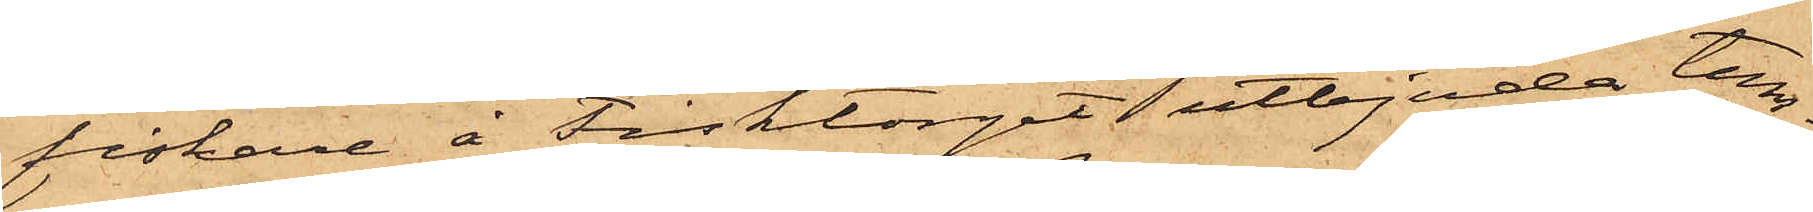fiskare å Fisktorget utbjuda tun¬
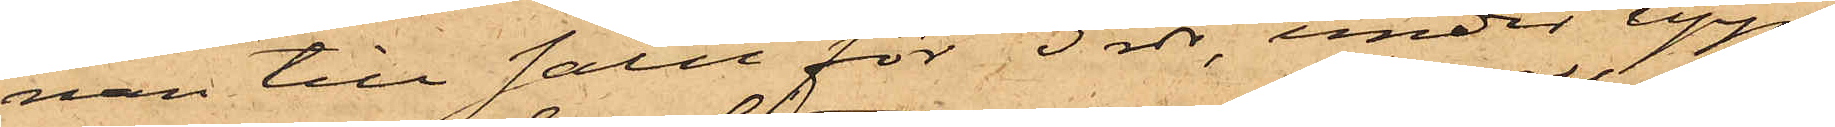nan till salu för 3 rdr, under upp¬
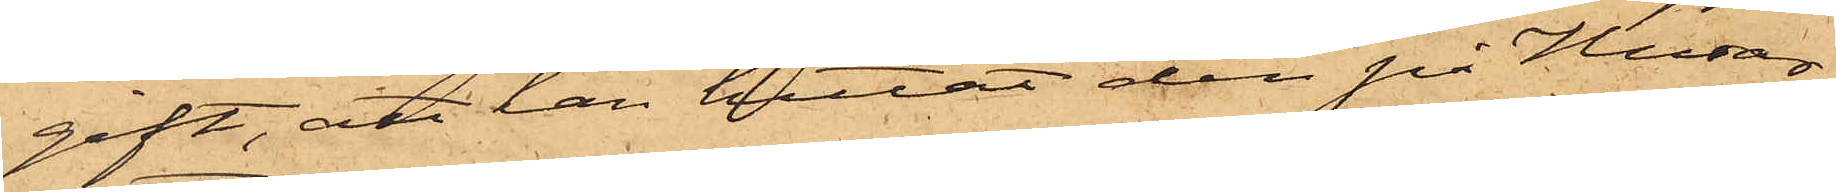gift, att han hittat den på Husar¬
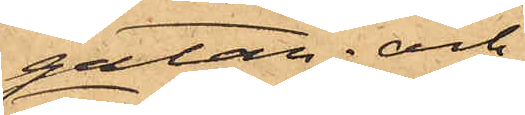gatan; och
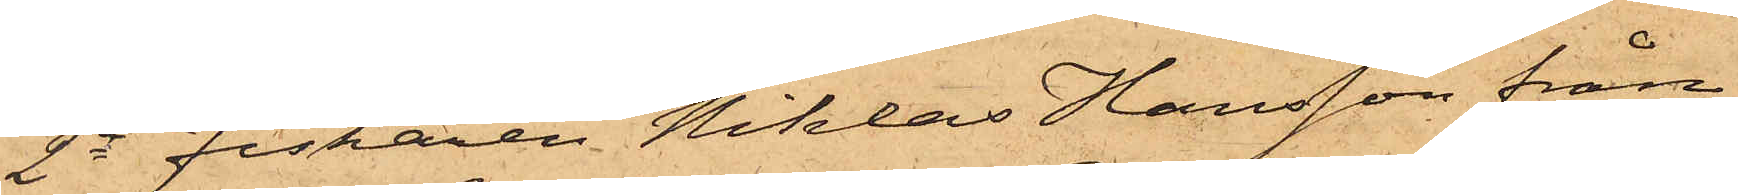2o Fiskaren Niklas Hansson från
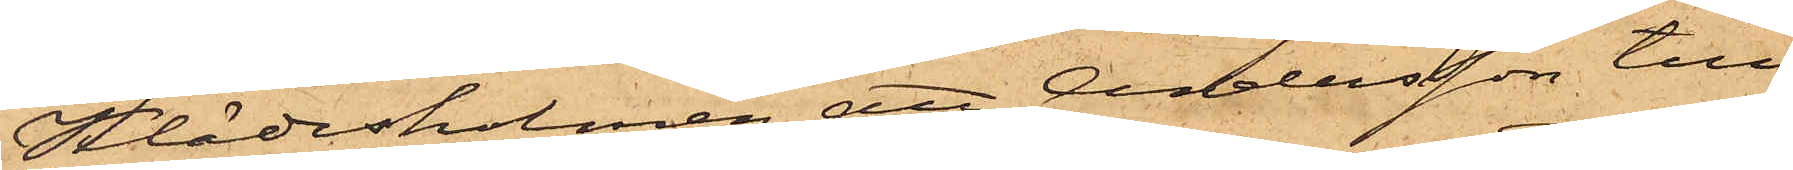Klädesholmen, att Andersson till
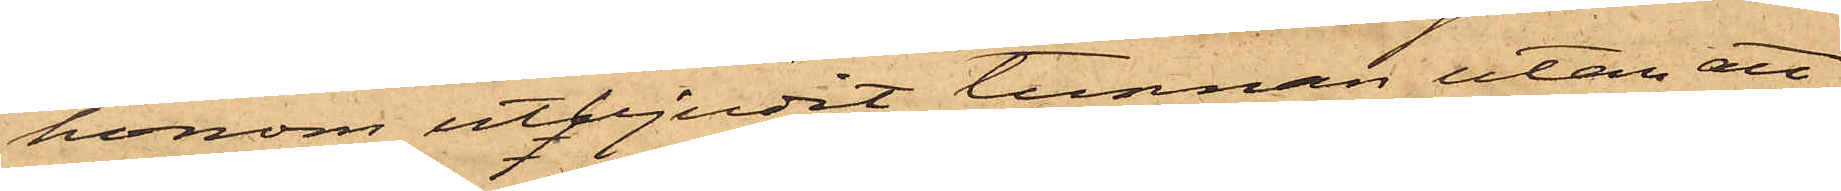honom utbjudit tunnan utan att
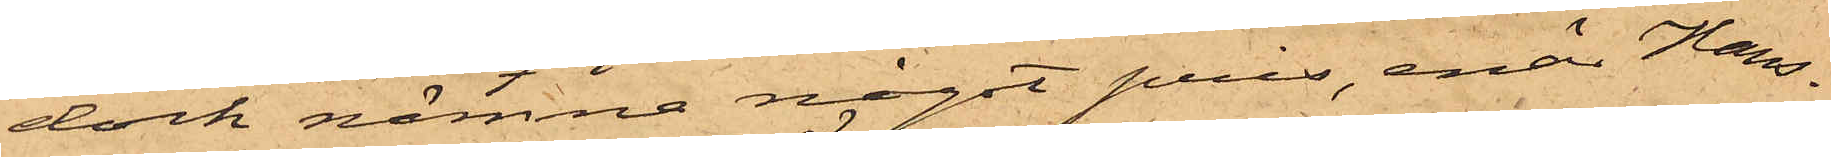dock nämna något pris, enär Hans¬
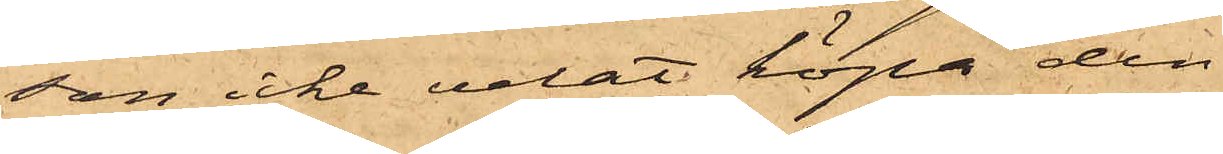son icke velat köpa den.
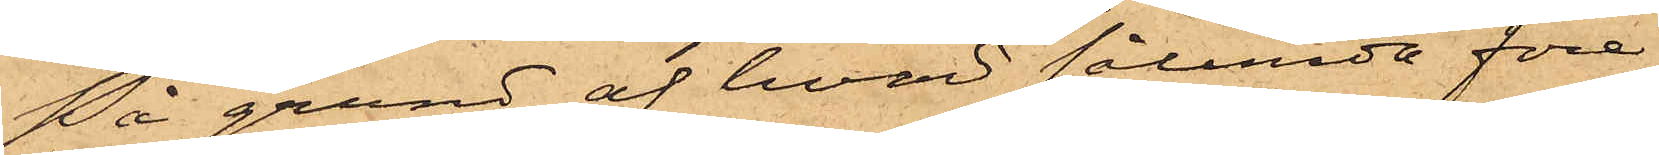På grund af hvad sålunda före¬
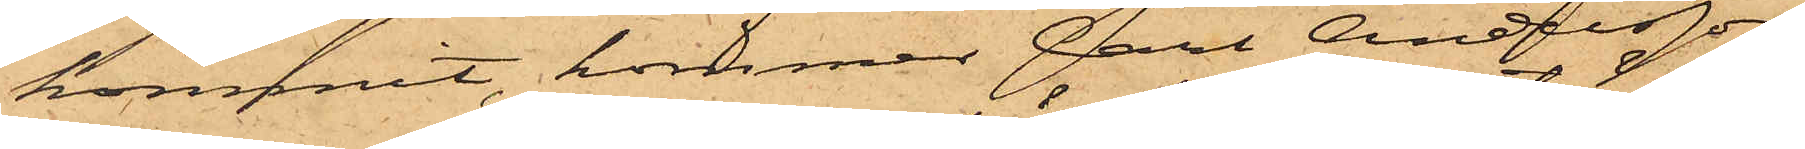kommit, kommer Carl Andersson
